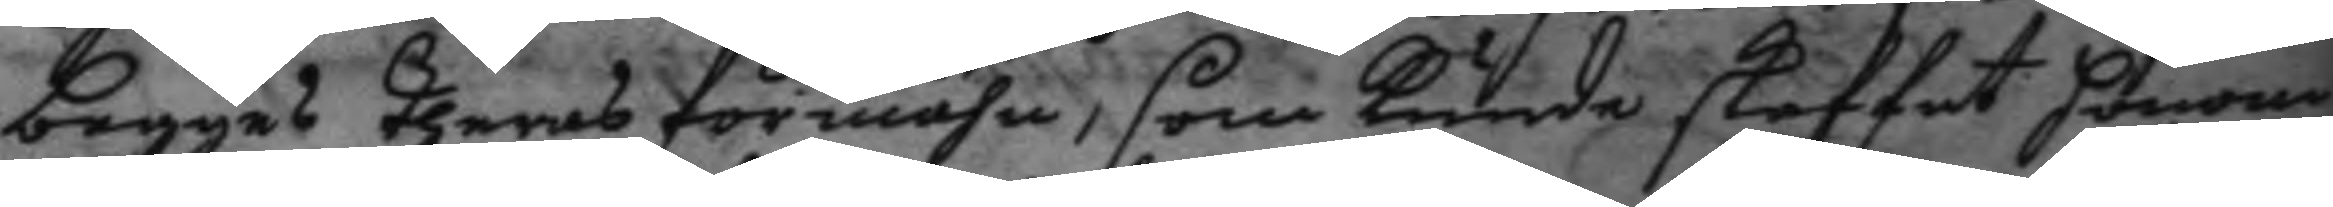begges theras förmåhn, som kunde skaffat honom
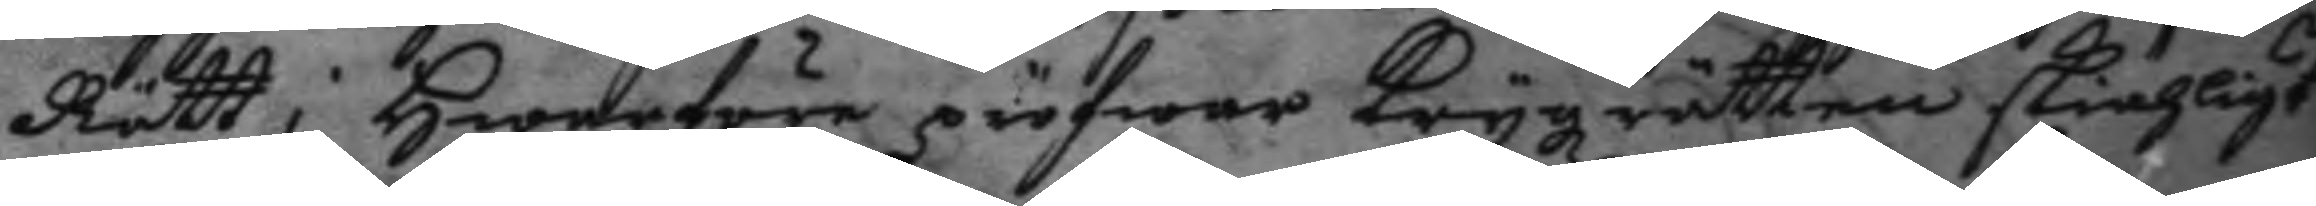Rätt; hwarföre pröfwar Krygzrätten skiähligt
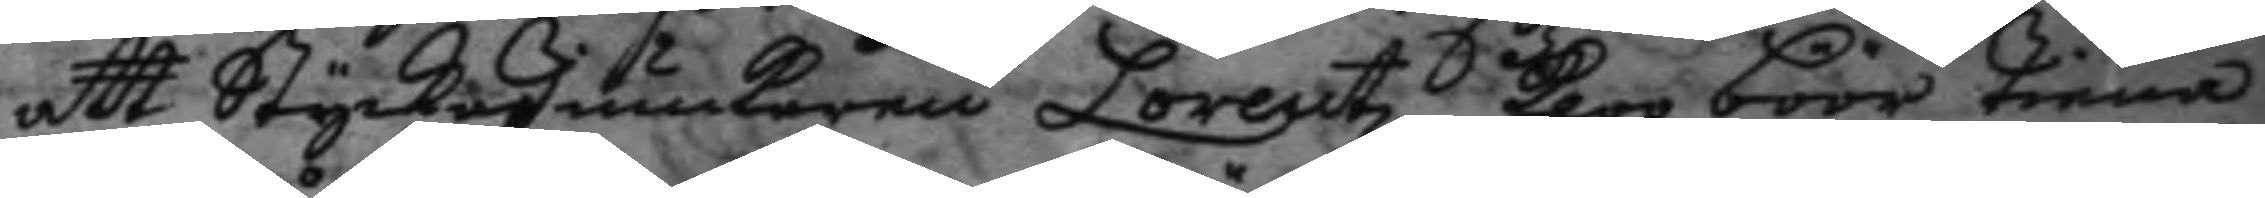att StyckeJunckaren Lorentz kloo böör tiena
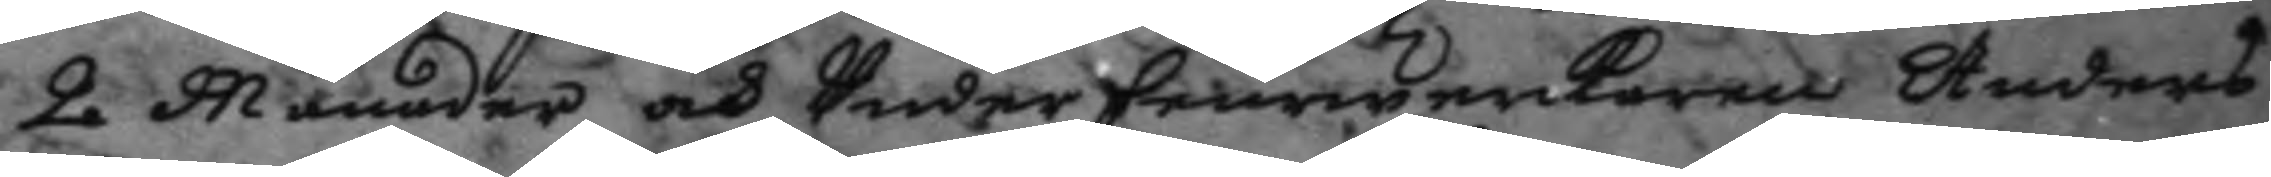2 Månader och Underfeurwerkaren Anders
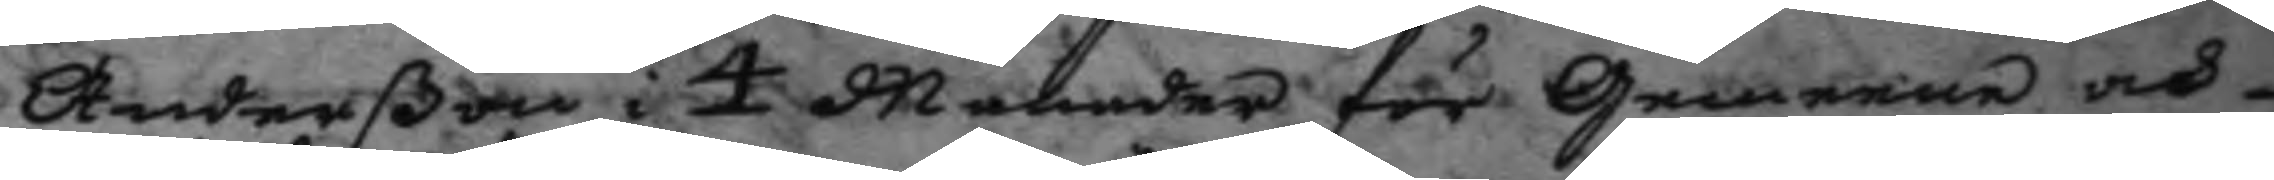Anderßon i 4 Månader för Gemenne och
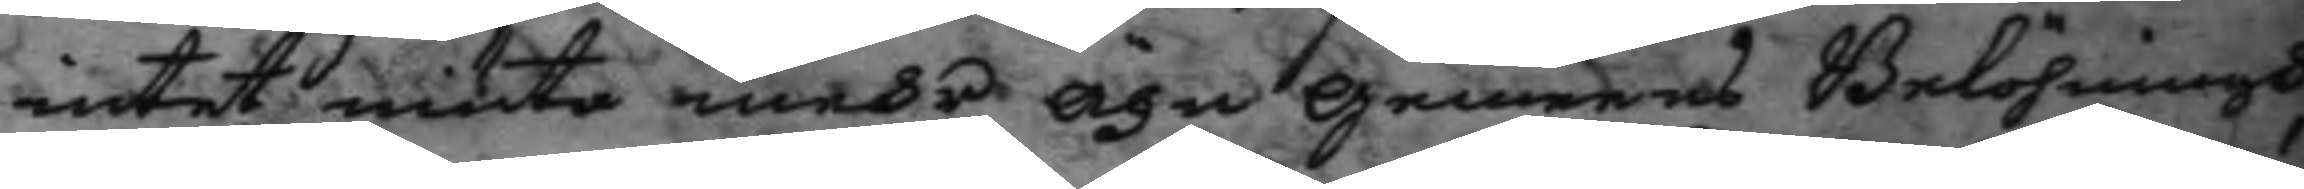intet niuta mehr ähn gemeens Belöhningh
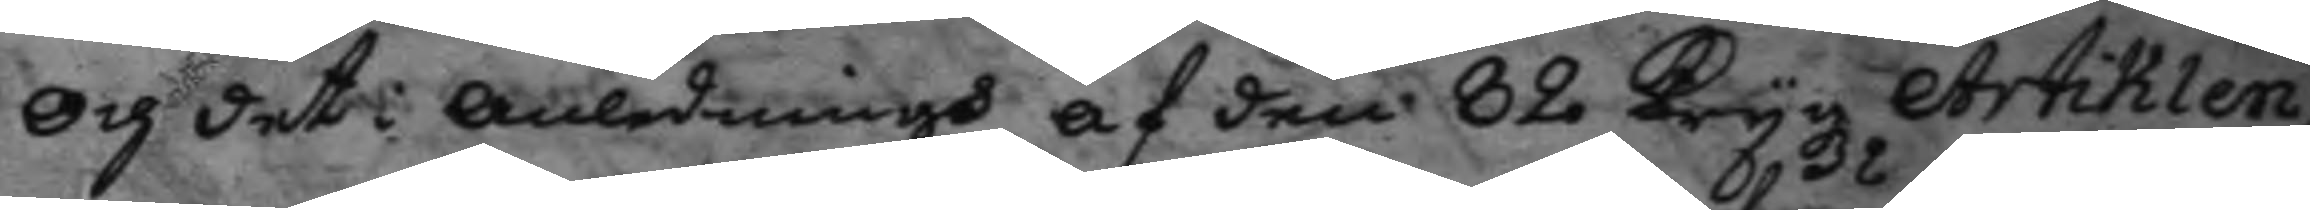och det anledningh af den 82 Krygz Artiklen
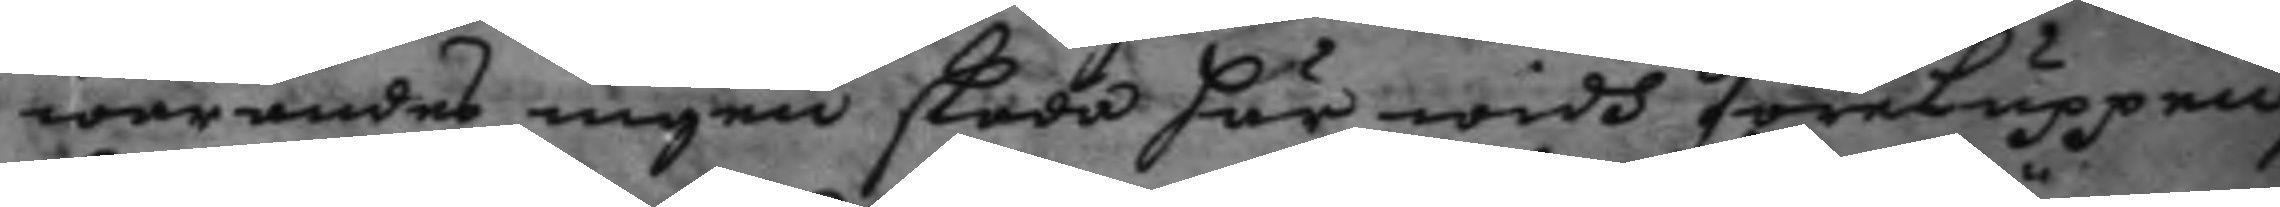warandes ingen skada här widh föreluppen,
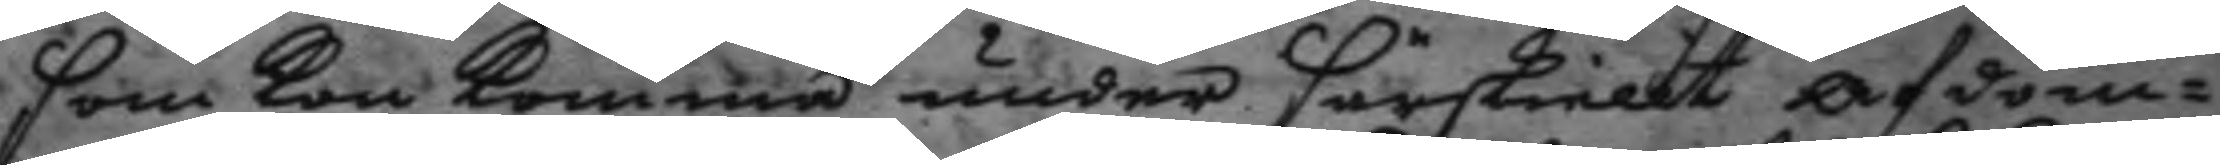som kan komma under särskiellt afdöm¬
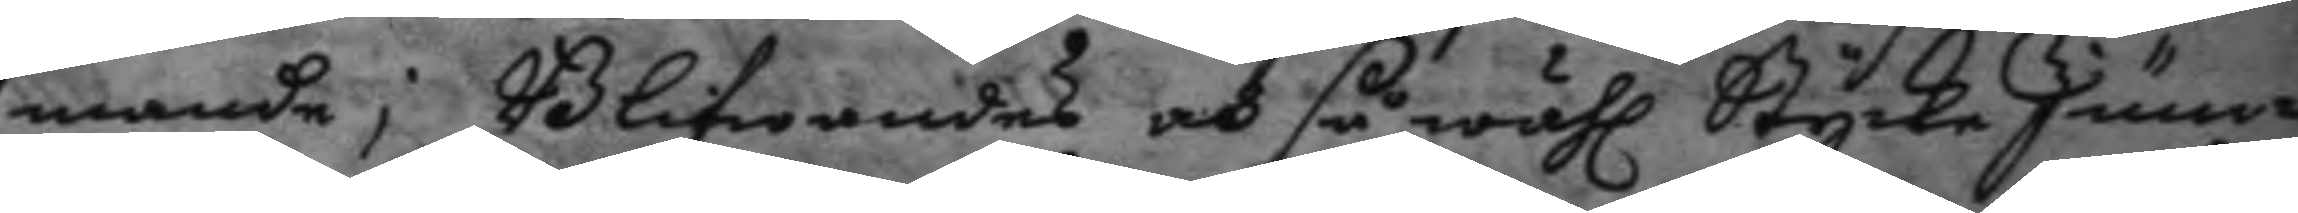mande; Blifwandes och så wähl Stycke Junc¬
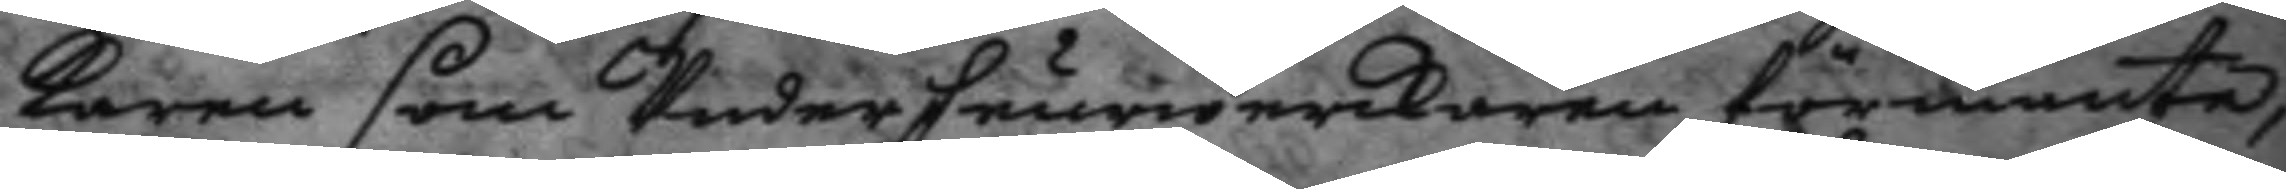karen som Underfeurwerkaren förmante,
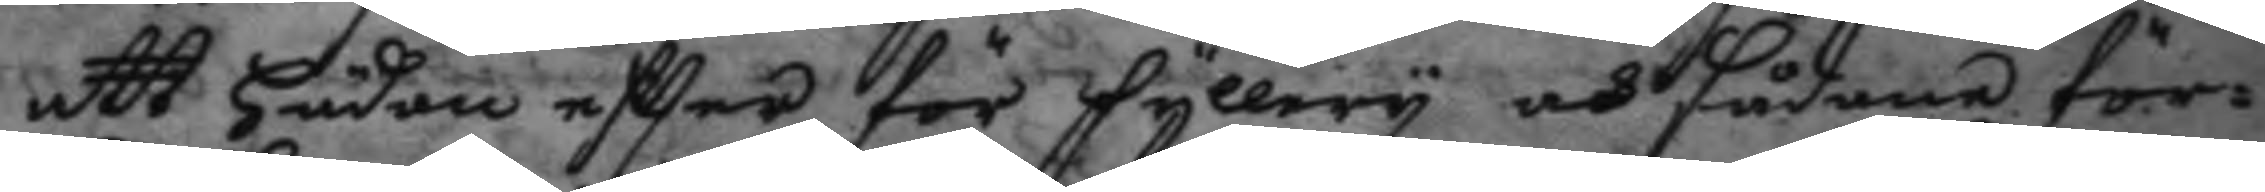att hädan eftter för fyllery och sådane för¬
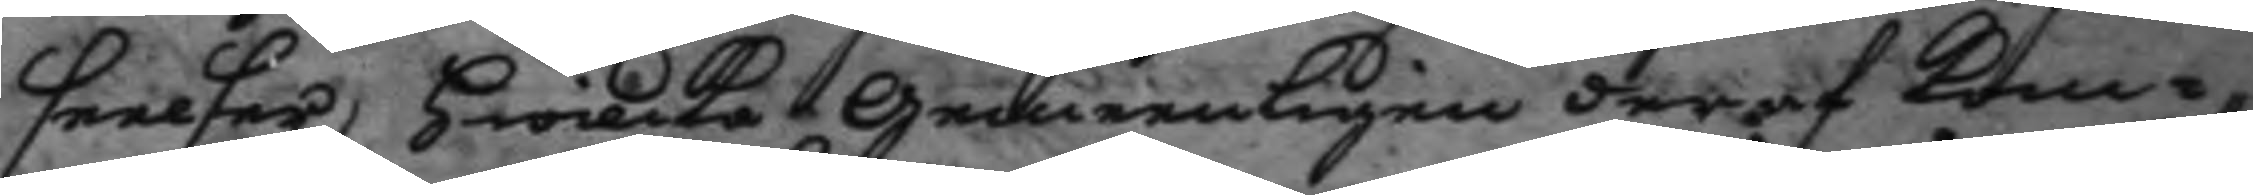seelser, hwilka gemeenligen deraf kom¬
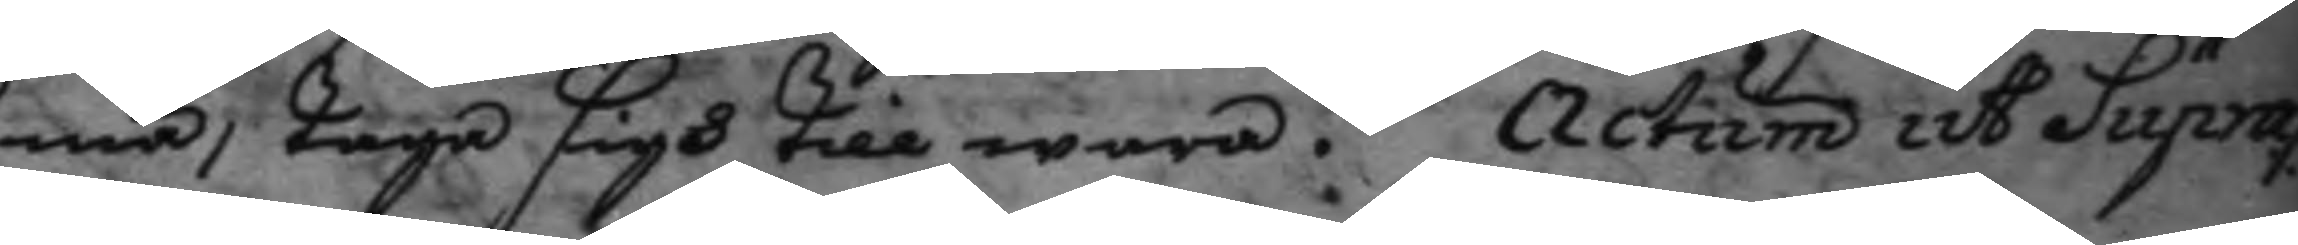ma, taga sigh till wara. actum ut Supra
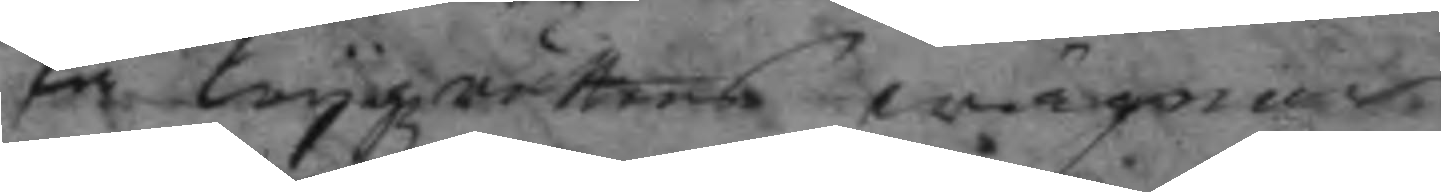På krygzrättens wägnar.
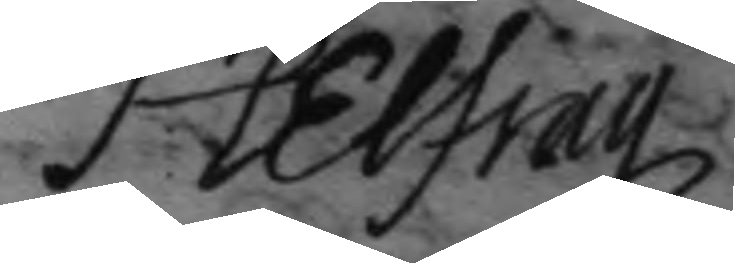H Belfrag
